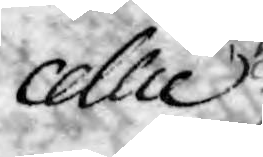cellie
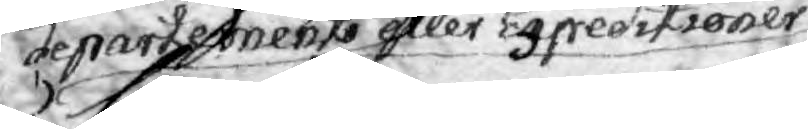departements eller expeditioner
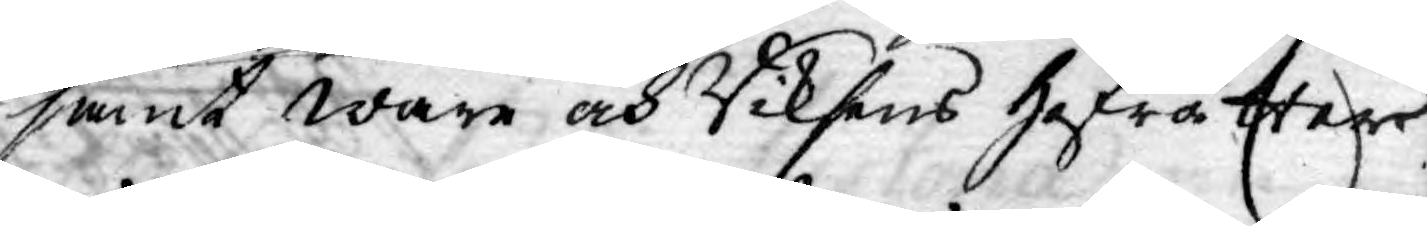samt ware och Riksens Hofrätter
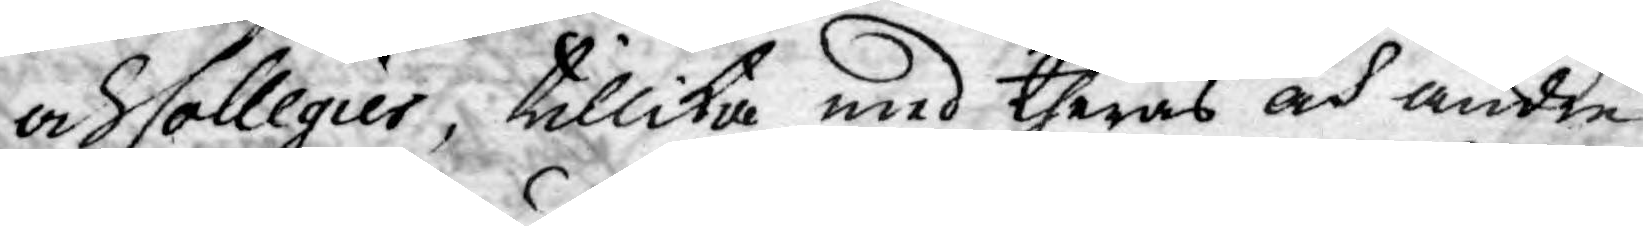och Collegier, tillika med theras och andre
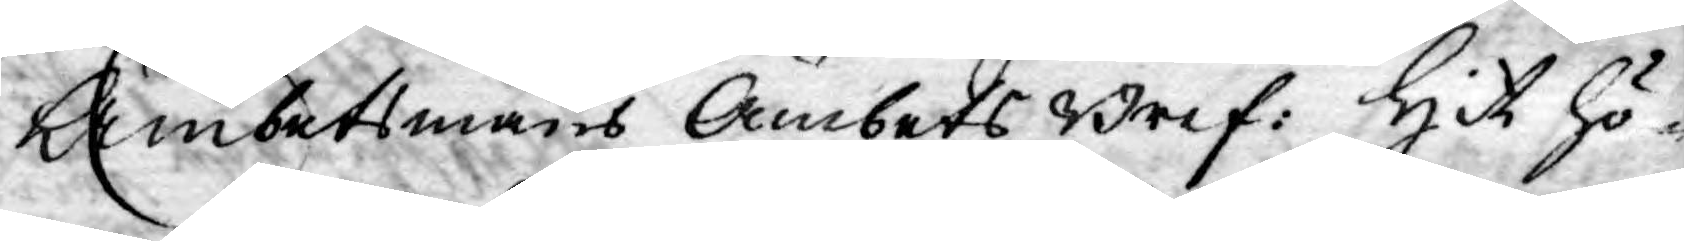Ämbetsmäns Ämbets Bref: Hit hö¬
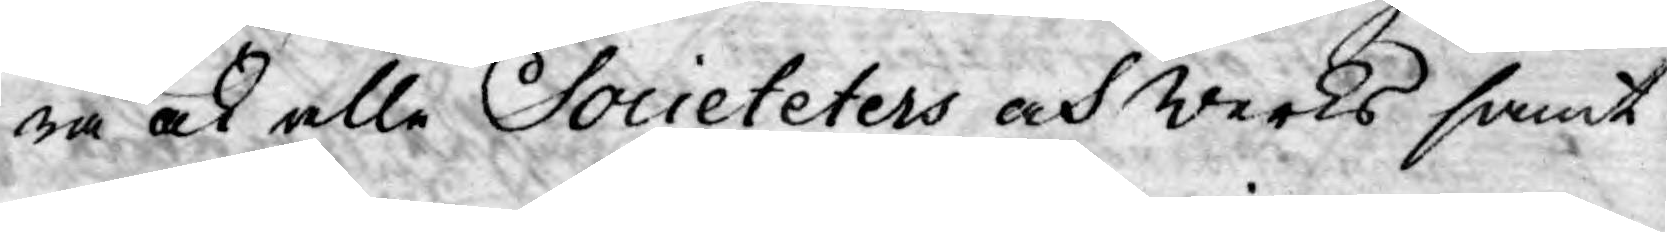ra ock alle Societeters och Werks samt
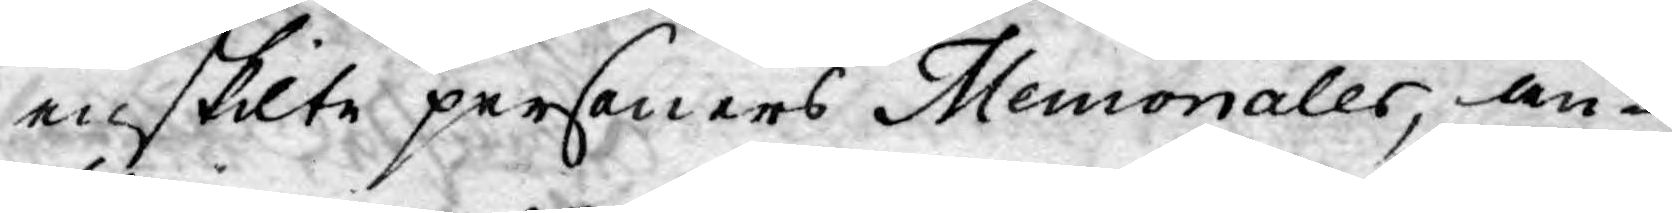enskilte personers Memorialer, an¬
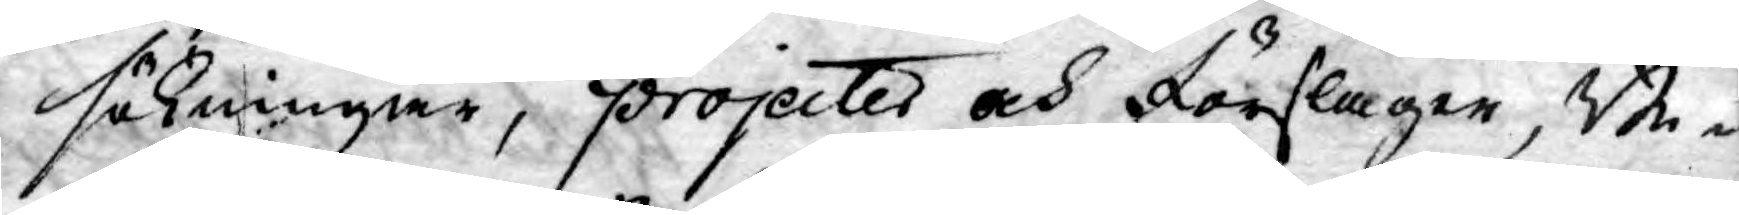sökningar, projecter och Förslager, Be¬
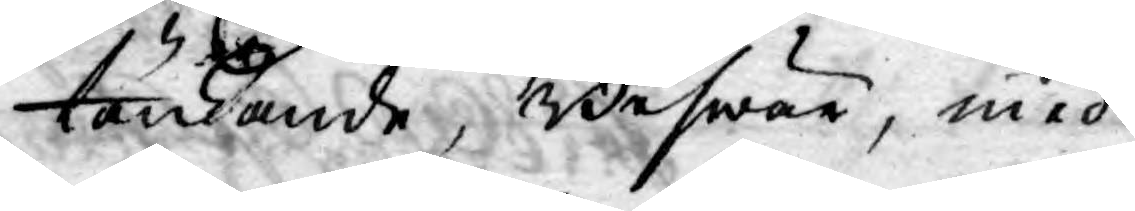tänkande, Beswär, med
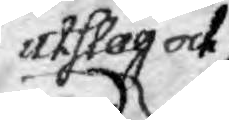utslag och
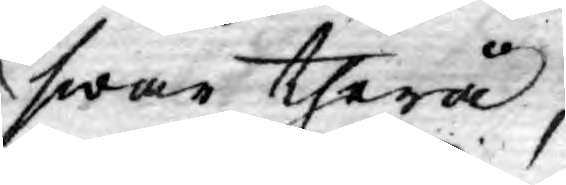swar therå,
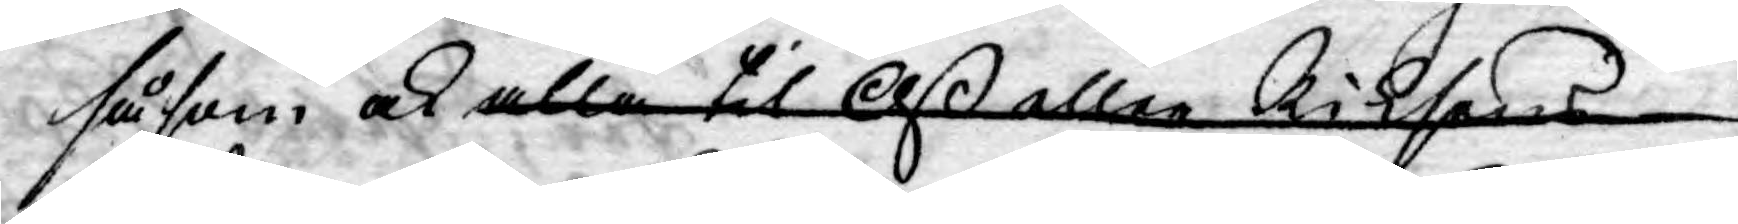såsom ock alla til Oß eller Riksens
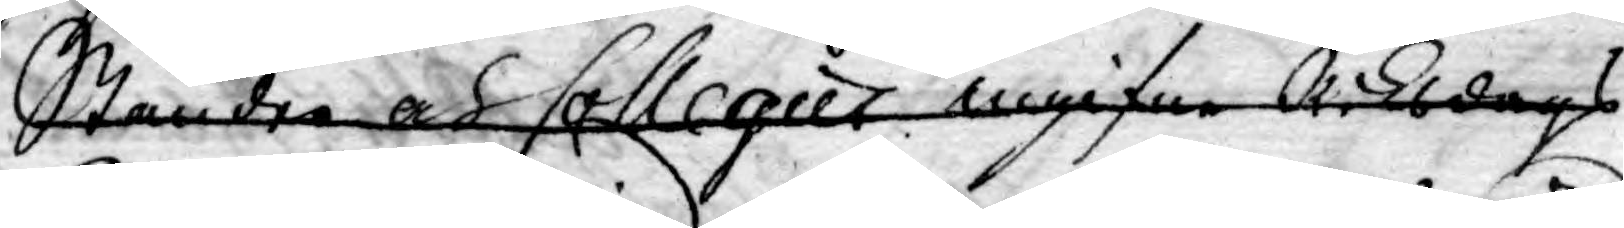Ständer och Collegier ingifne Riksdags
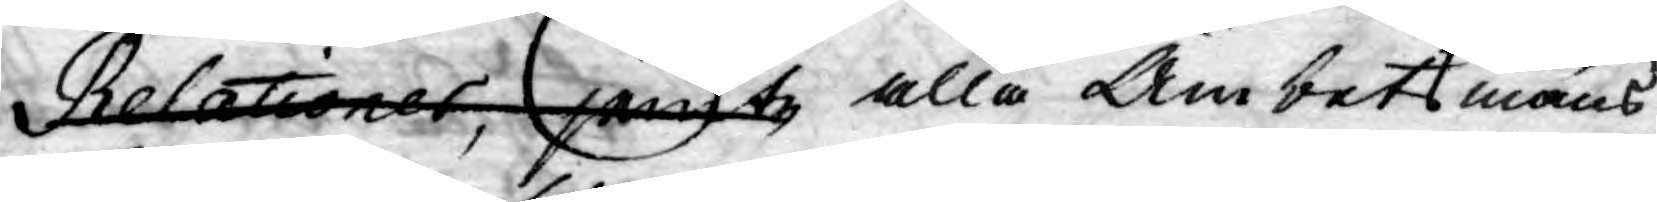Relationer, jemte alla Ämbetsmäns
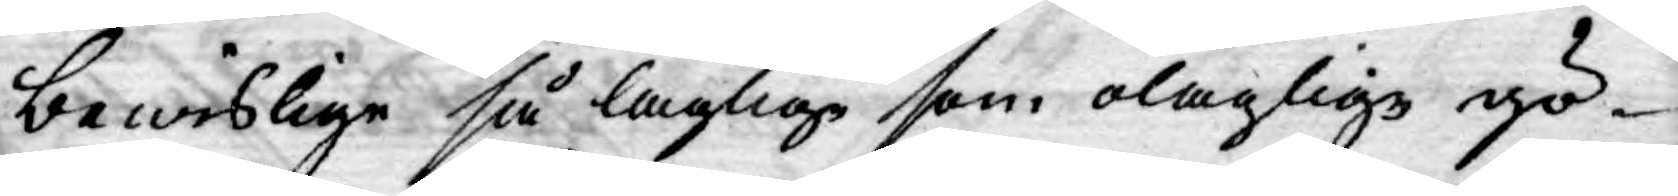bewislige så laglige som olaglige gö¬
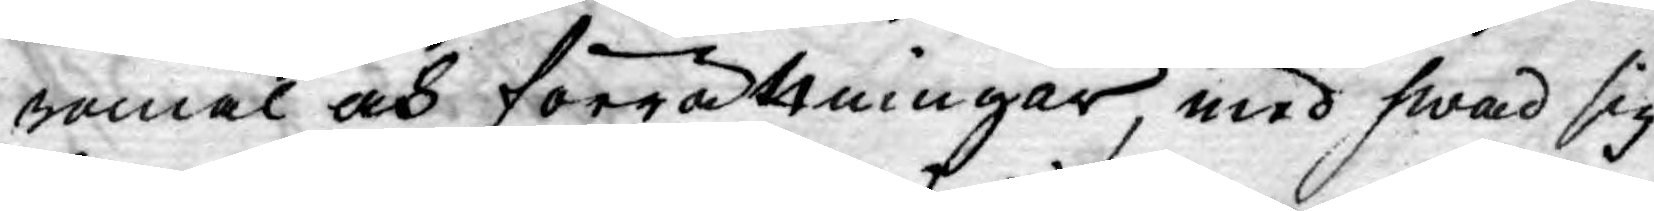romål och förrättningar, med hwad sig
